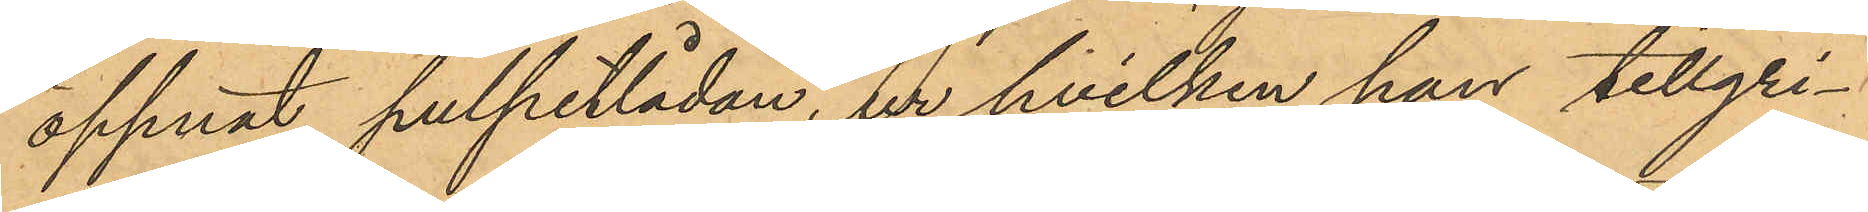öppnat pulpetlådan, ur hvilken han tillgri¬
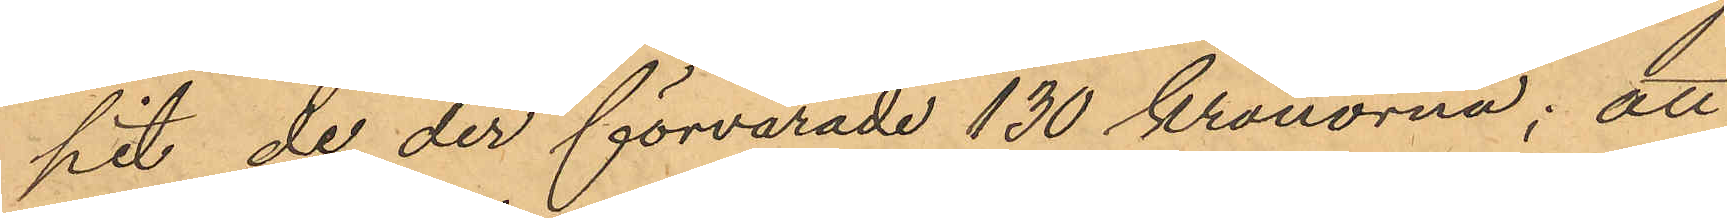pit de der förvarade 130 kronorna; att
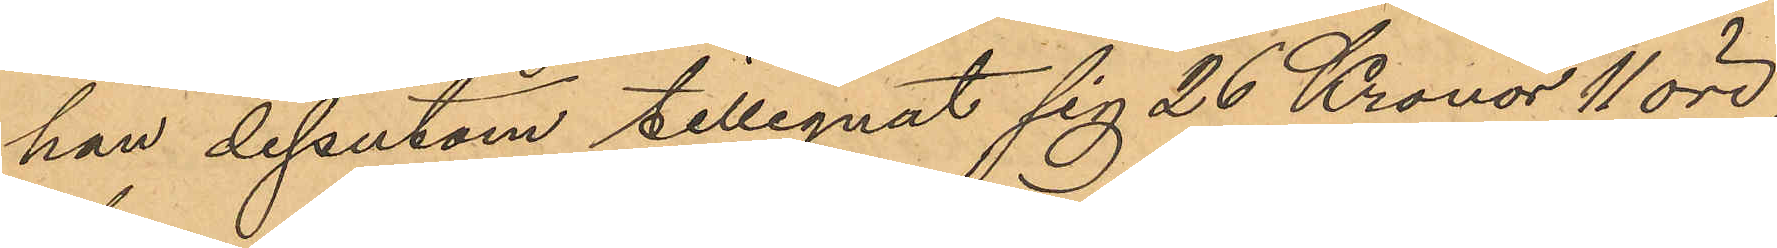han dessutom tillegnat sig 26 Kronor 11 öre,
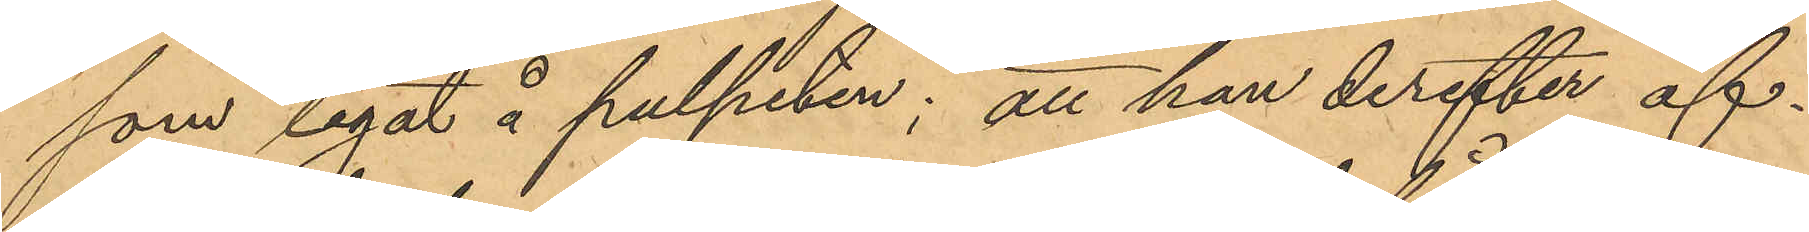som legat å pulpeten; att han derefter af¬
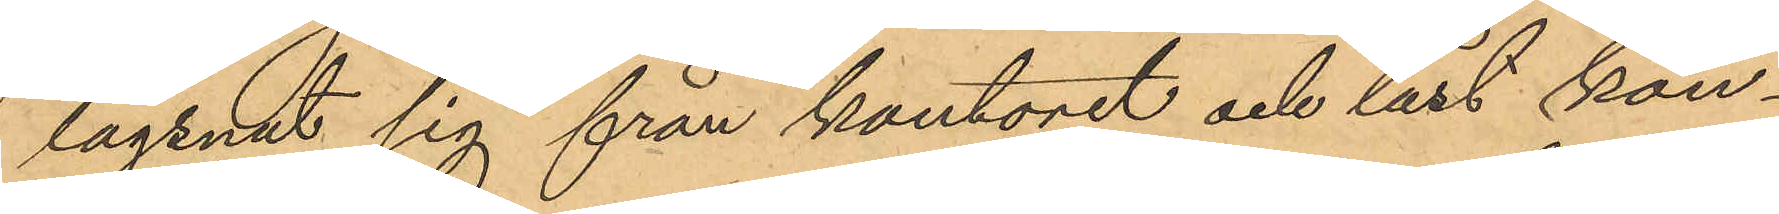lägsnat sig från kontoret och låst kon¬
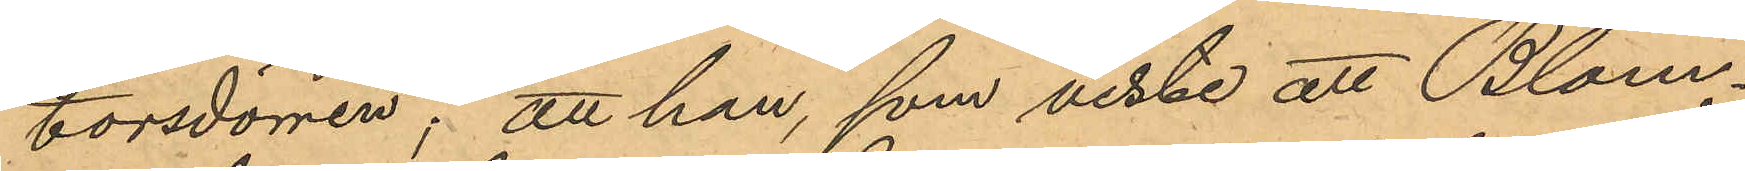torsdörren; att han, som viste att Blom¬
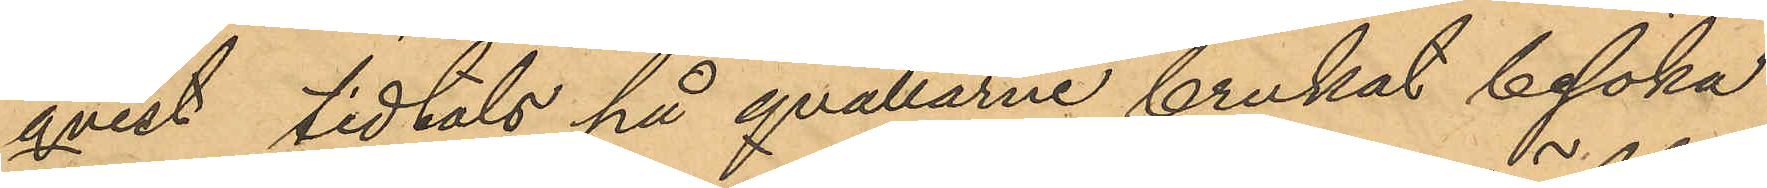qvist tidtals på qvällarne brukat besöka
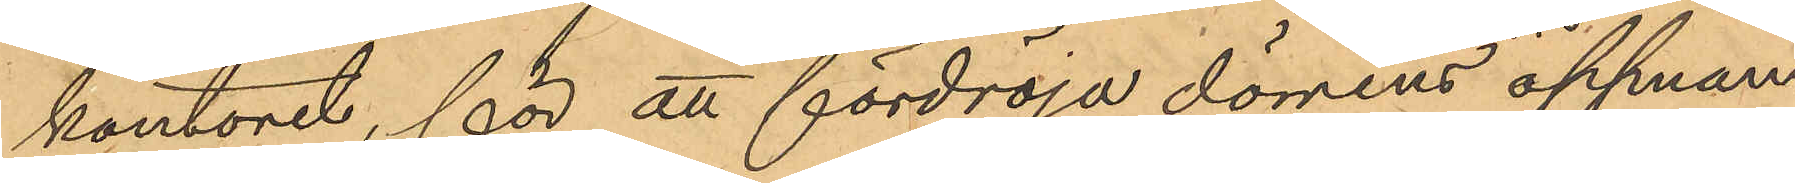kontoret, för att fördröja dörrens öppnan¬
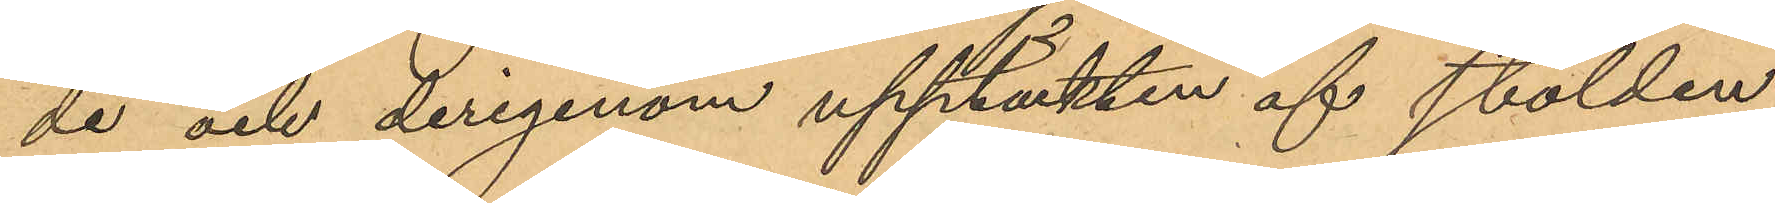de och derigenom upptäkten af stölden
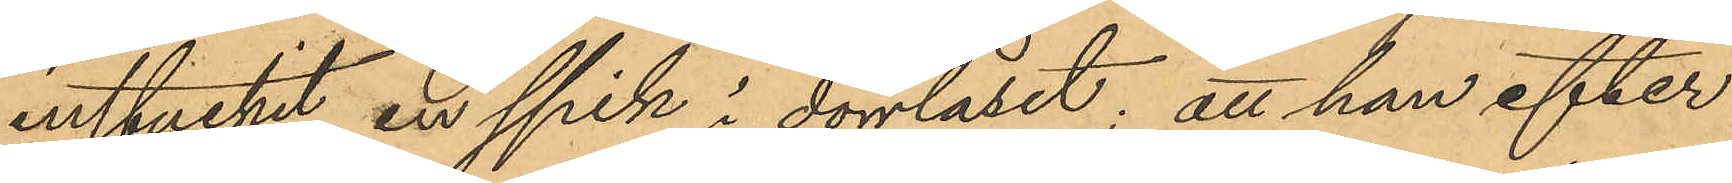instuckit en spik i dörrlåset; att han efter
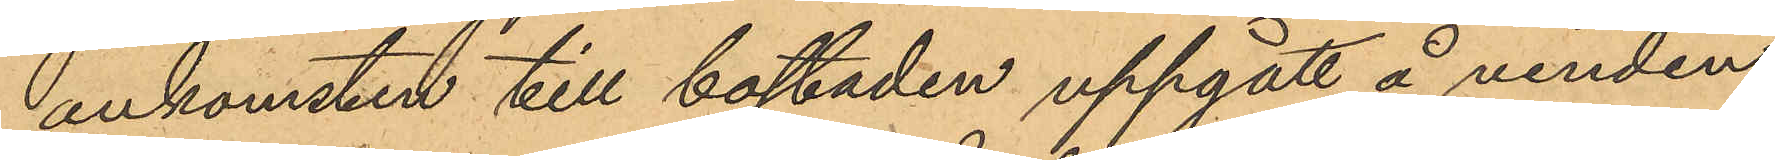ankomsten till bostaden uppgått å vinden
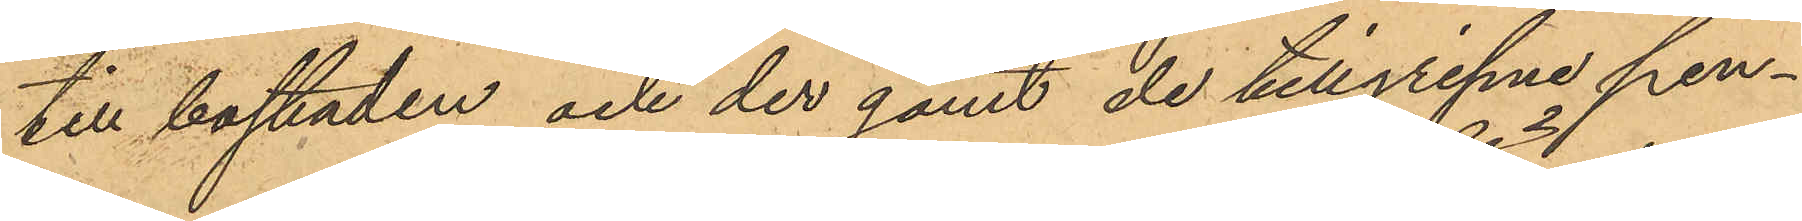till bostaden och der gömt de tillgripne pen¬
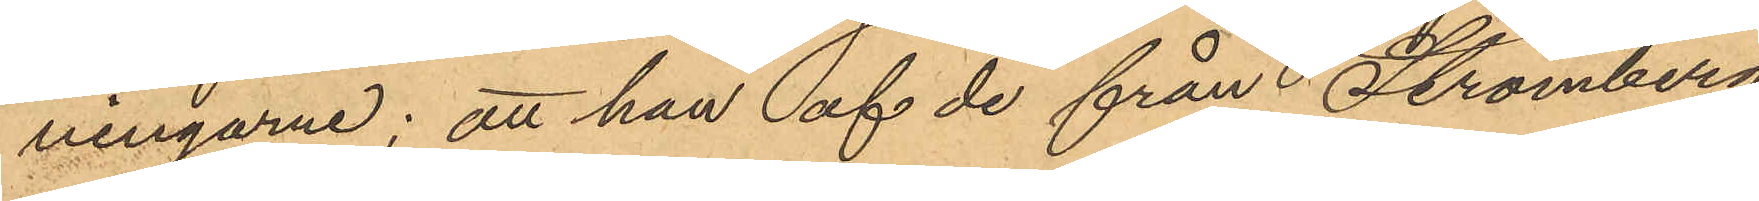ningarne; att han af de från i Strömberg
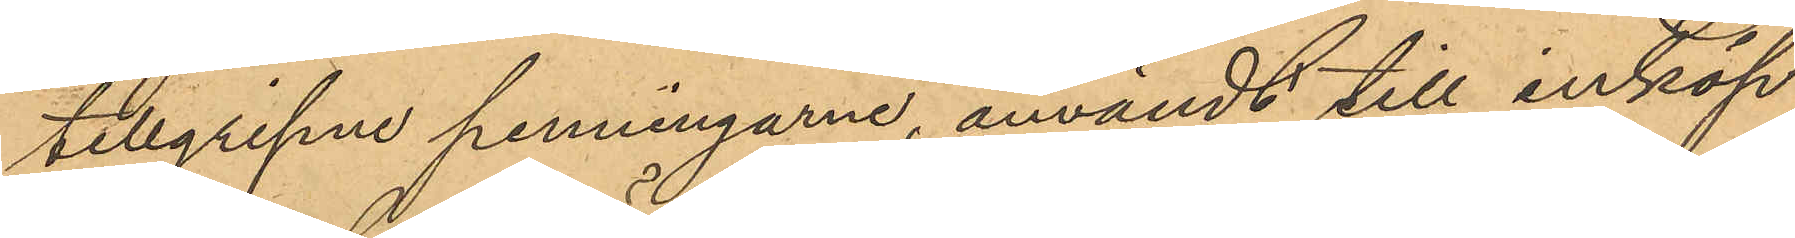tillgripne penningarne, användt till inköp
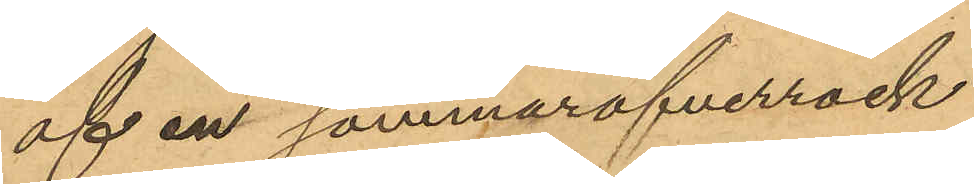af en sommaröfverrock
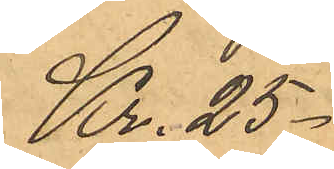Kr. 25.
